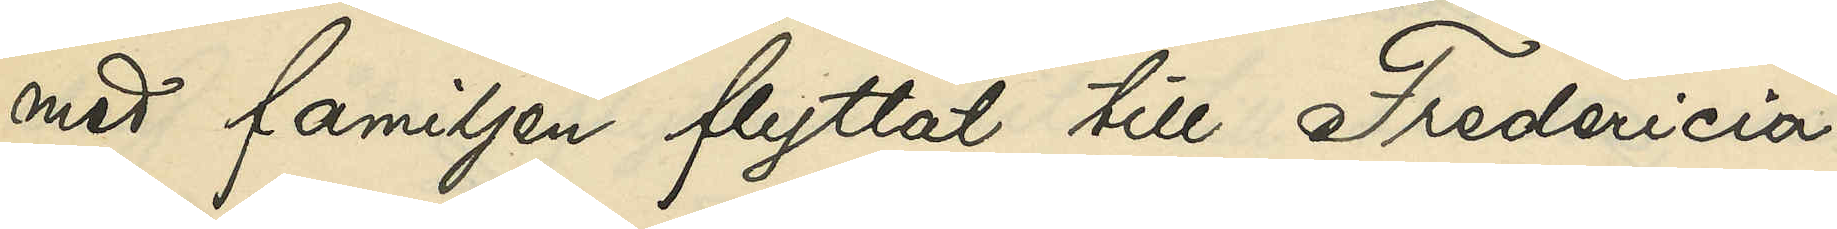med familjen flytat till Fredericia,
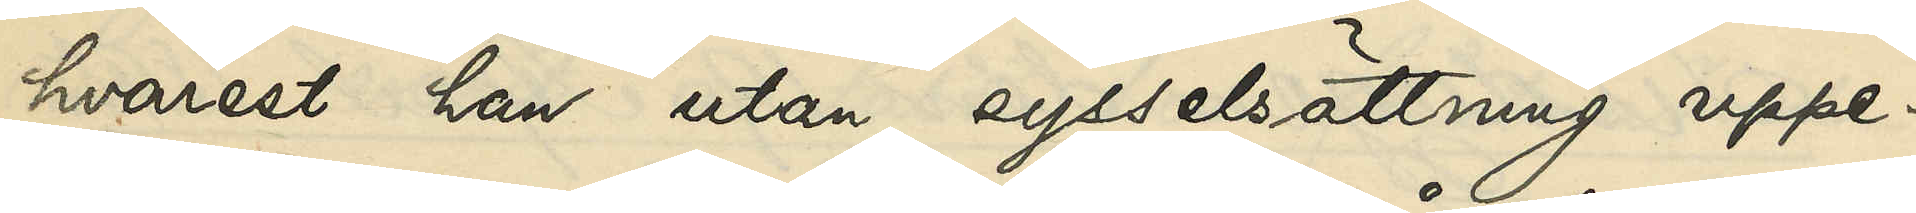hvarest han utan sysselsättning uppe¬
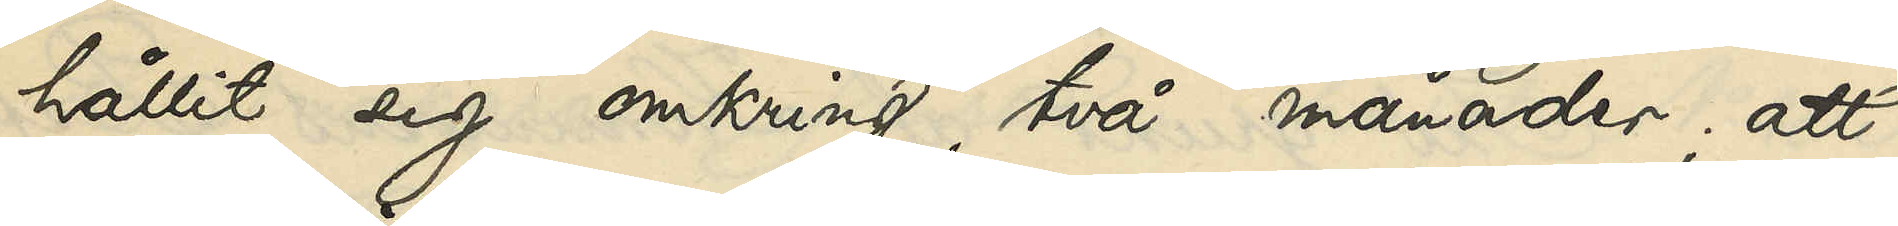hållit sig omkring två månader; att
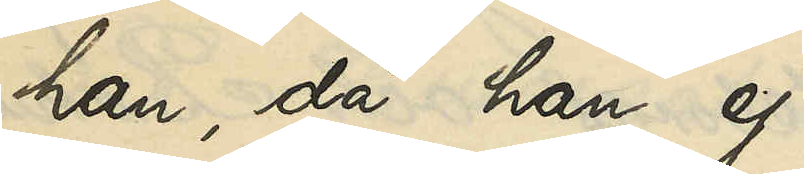han, då han ej
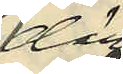där
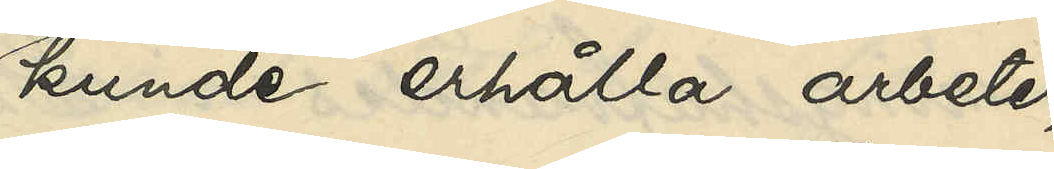kunde erhålla arbete,
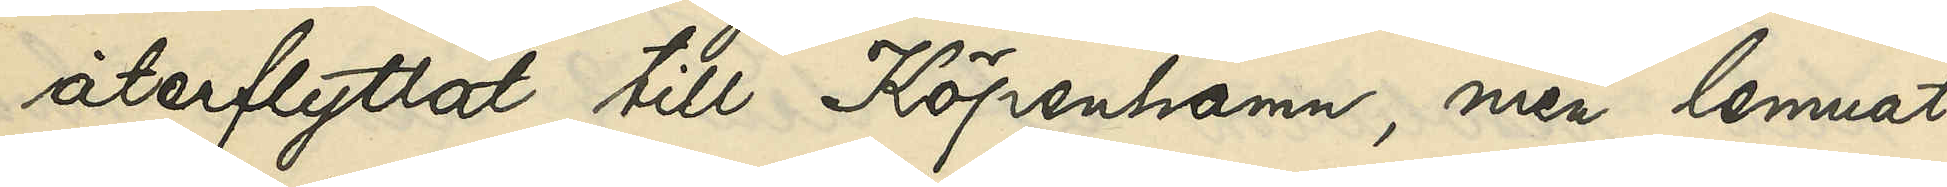återflyttat till Köpenhamn, men lemnat
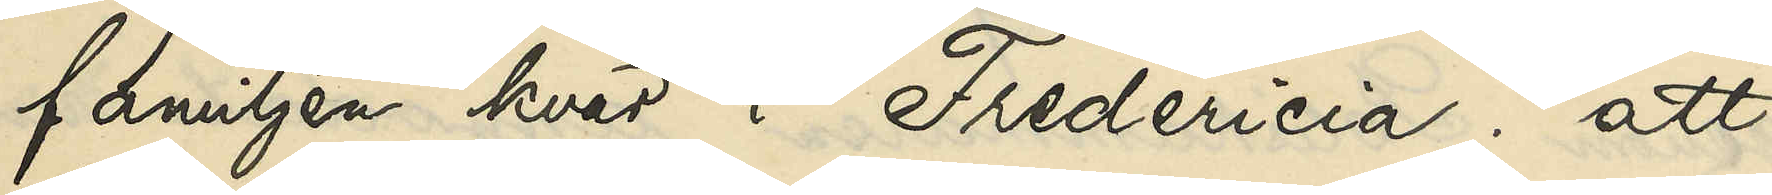familjen kvar i Fredericia; att
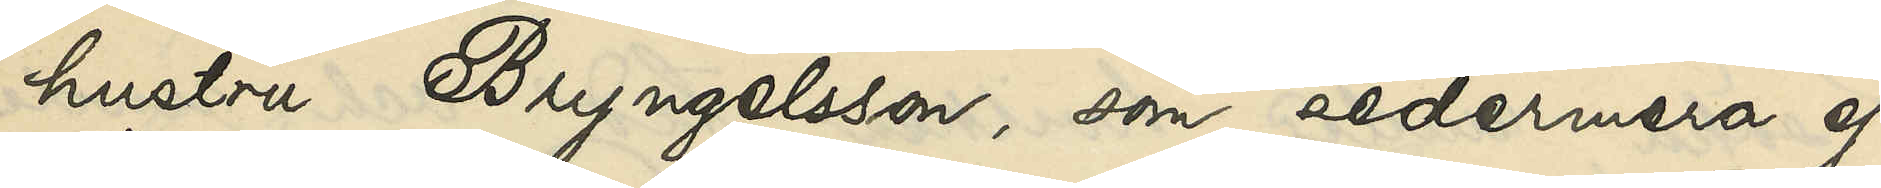hustru Bryngelsson, som sedermera ej
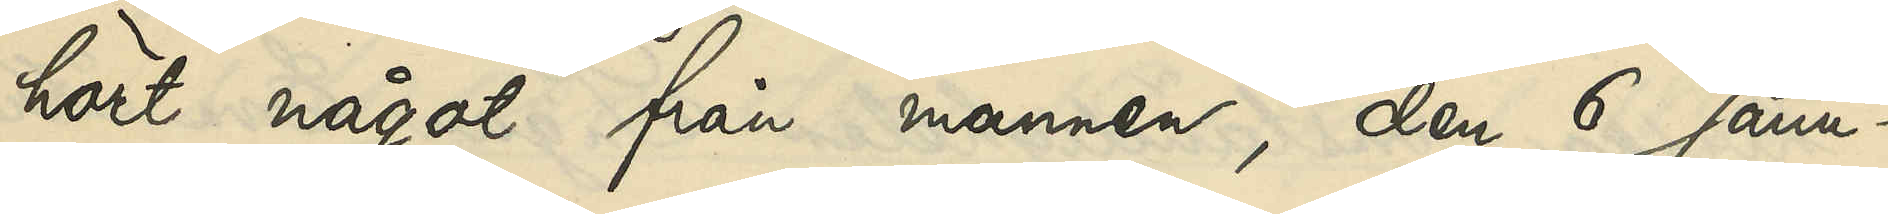hört något från mannen, den 6 Janu¬
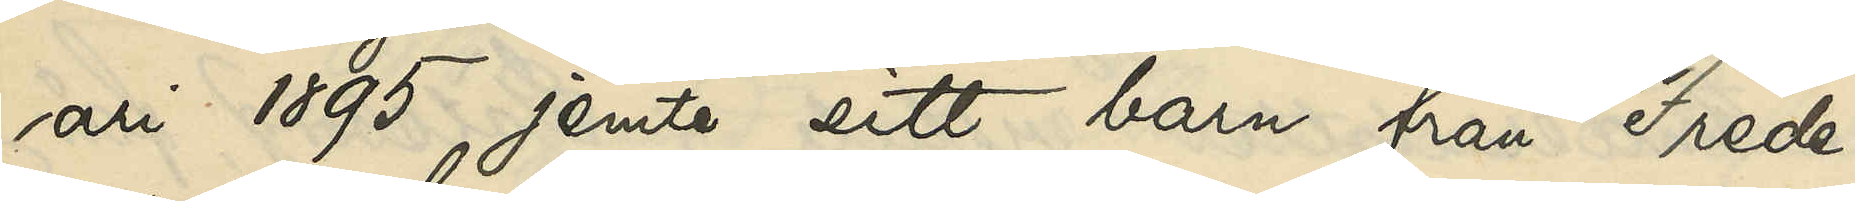ari 1895, jemte sitt barn från Frede¬
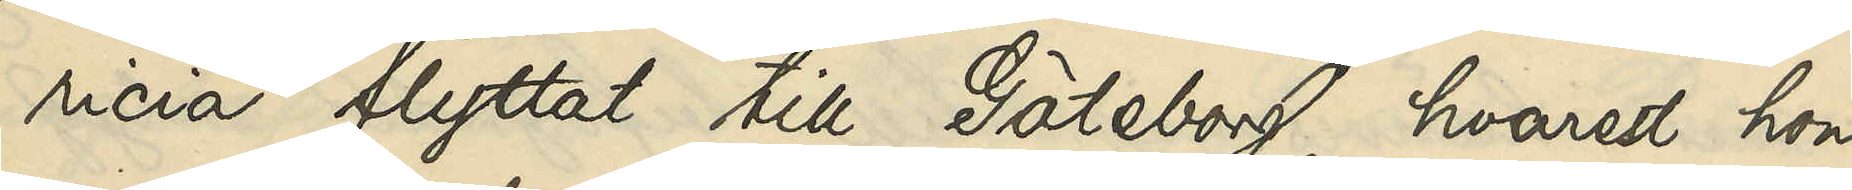ricia flyttat till Göteborg, hvarest hon
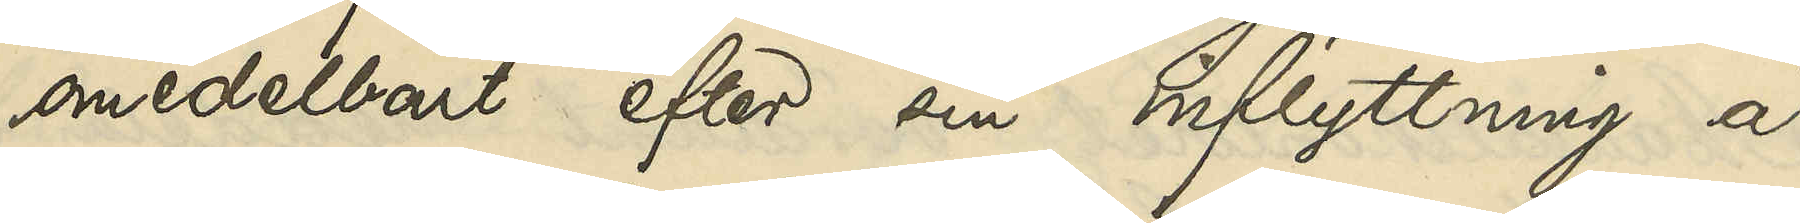omedelbart efter sin inflyttning å
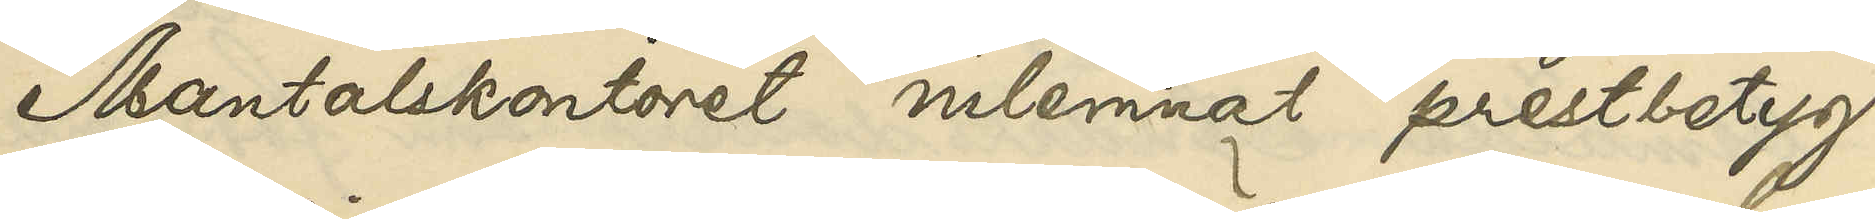Mantalskontoret inlemnat prestbeytg
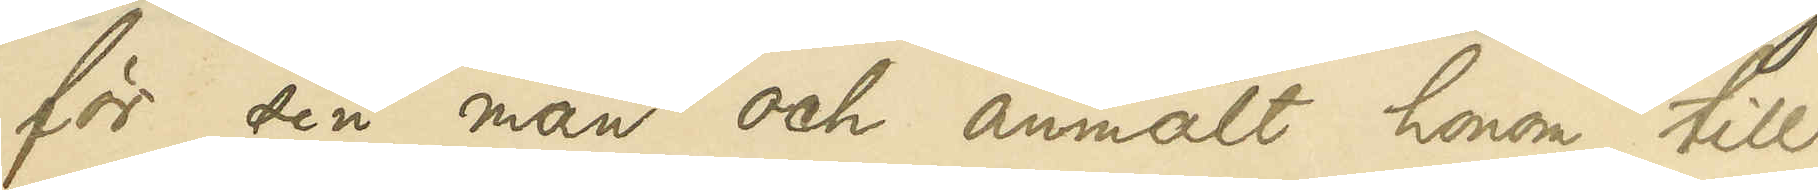för sin man och anmält honom till
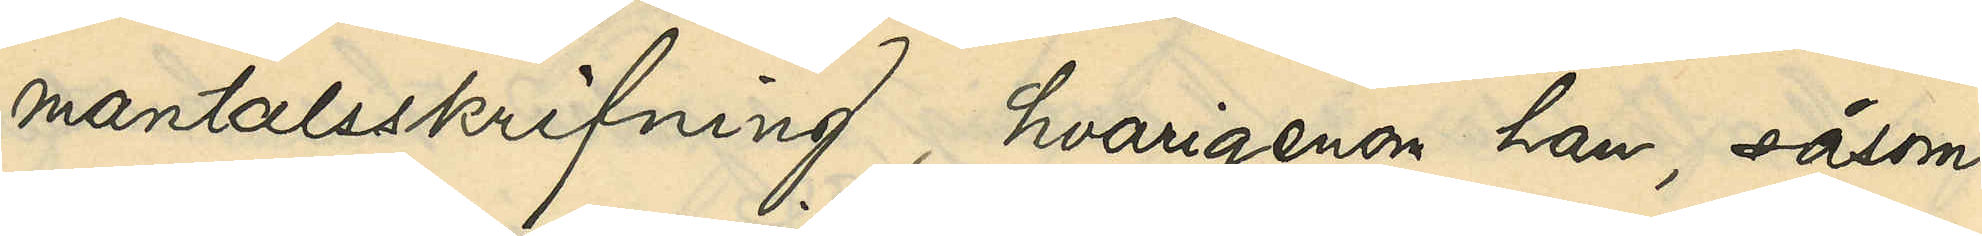mantalsskrifvning, hvarigenom han, såsom
